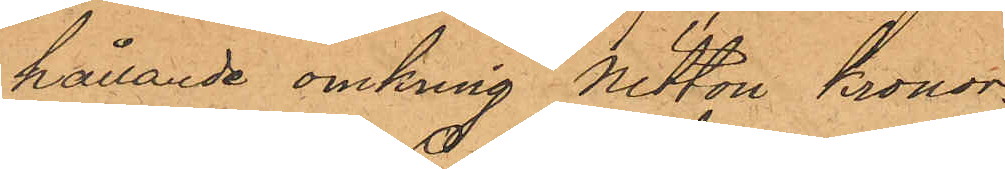hållande omkring Nitton kronor.
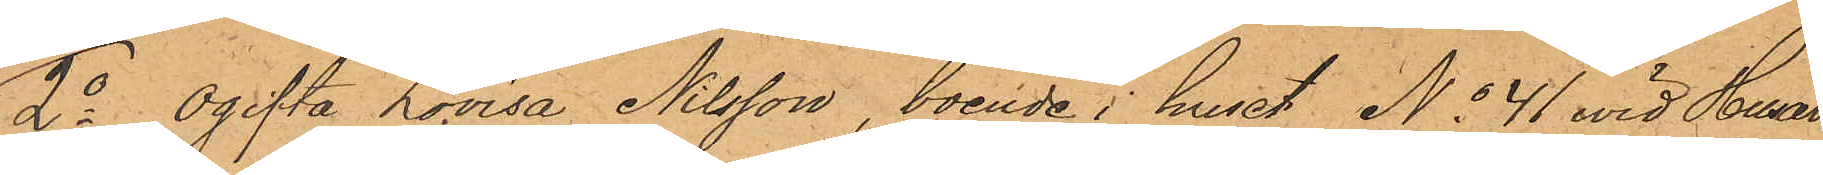2o ogifta Lovisa Nilsson, boende i huset No 41 vid Husar¬
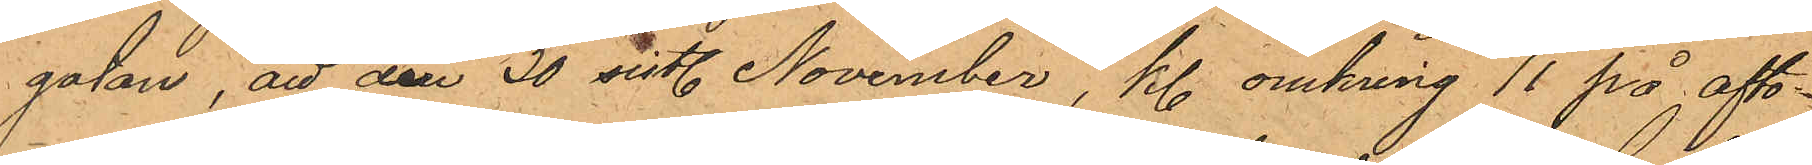gatan, att den 30 sistl. November, kl. omkring 11 på afto¬
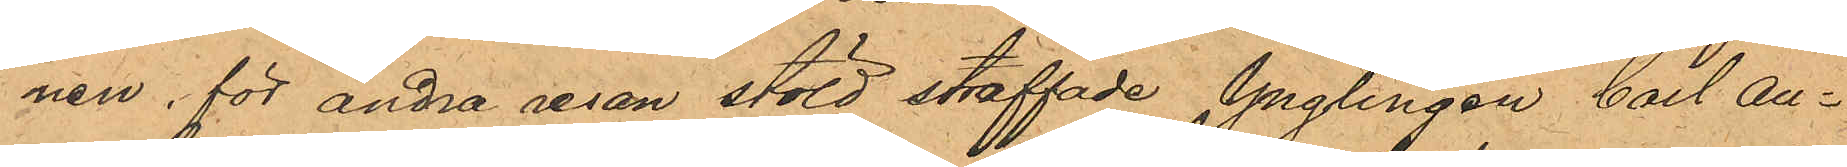nen, för andra resan stöld straffade Ynglingen Carl An¬
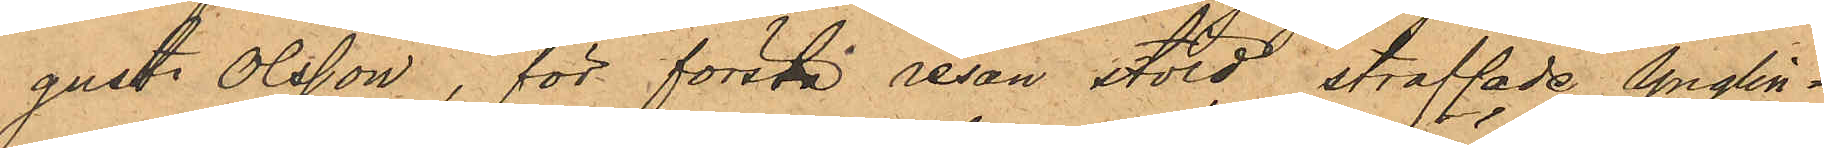gust Olsson, för första resan stöld straffade Ynglin¬
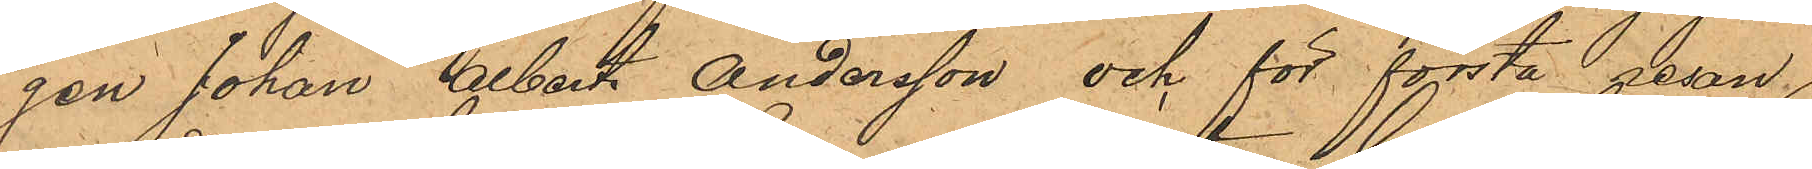gen Johan Albert Andersson och för första resan
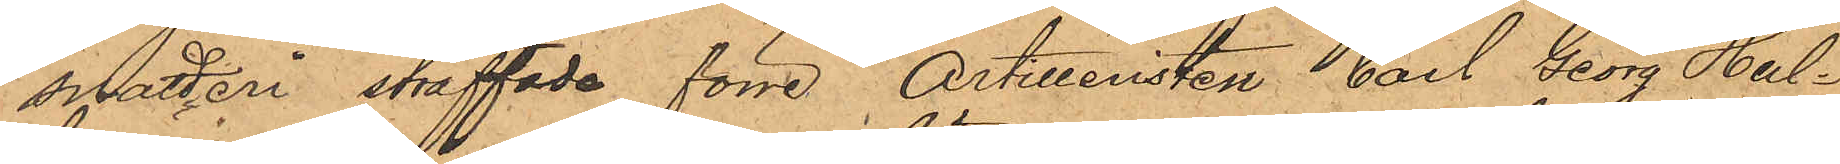snatteri straffade förre Artilleristen Carl Georg Hul¬
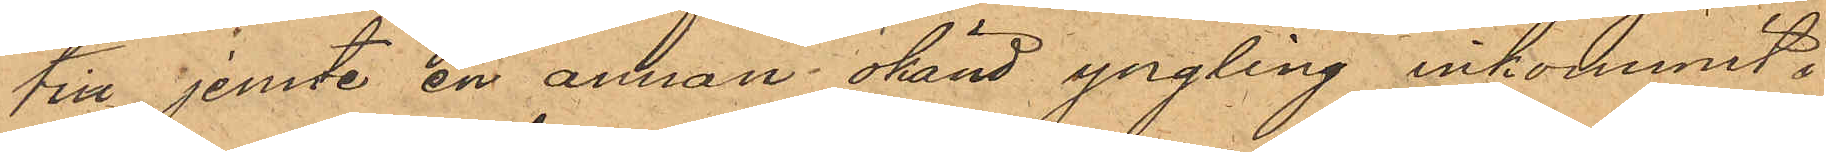tin jemte en annan okänd yngling inkommit i
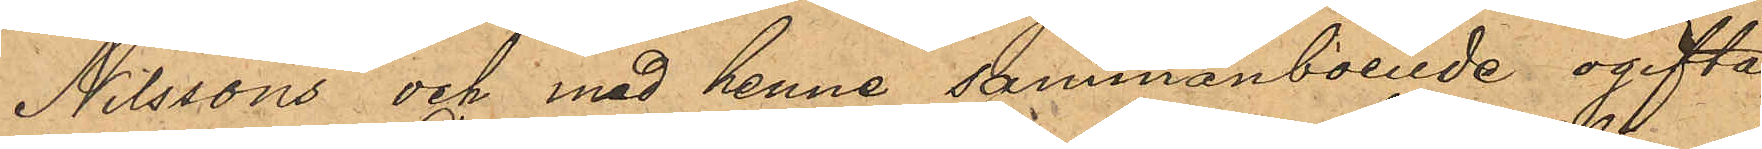Nilssons och med henne sammanboende ogifta
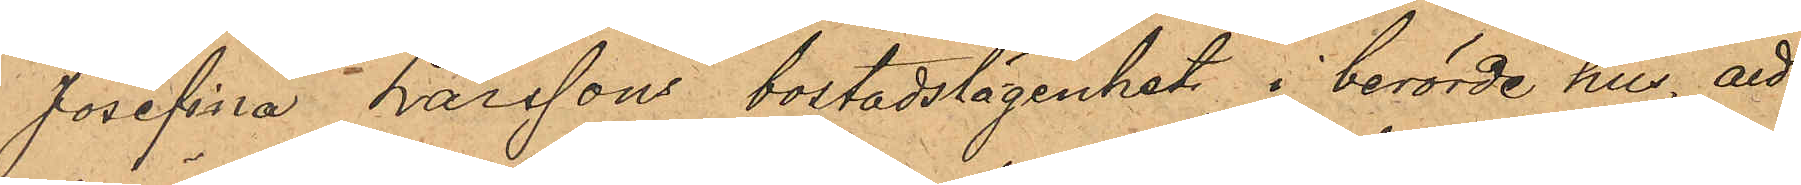Josefina Larssons bostadslägenhet i berörde hus, att,
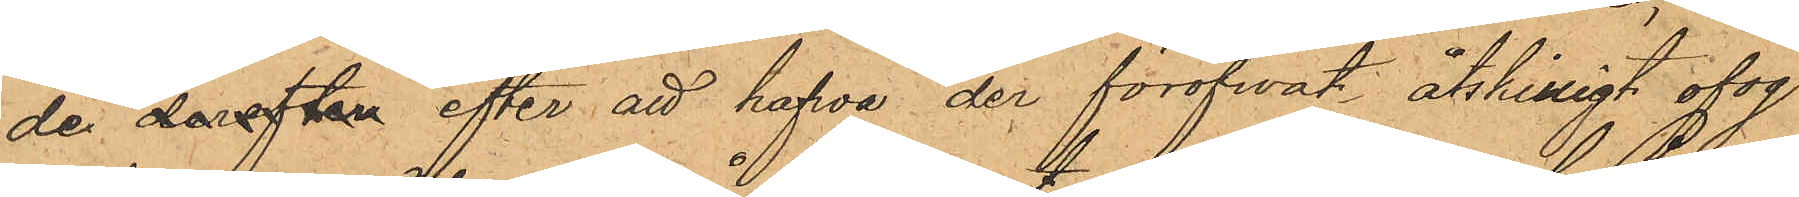de derefter efter att hafwa der föröfvat åtskilligt ofog
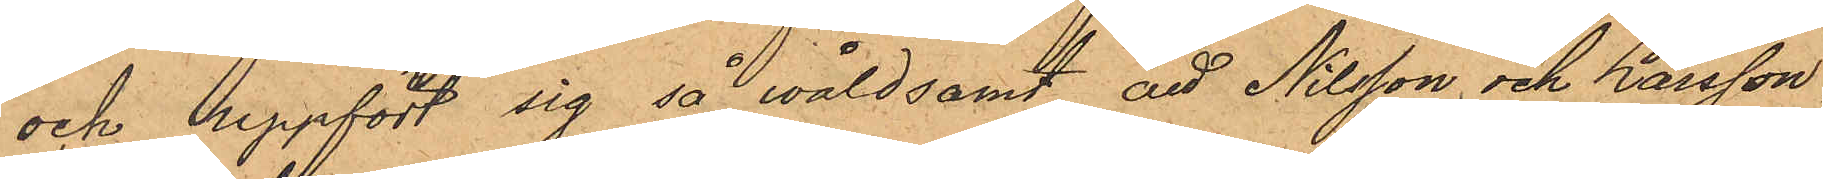och uppfört sig så wåldsamt att Nilsson och Larsson
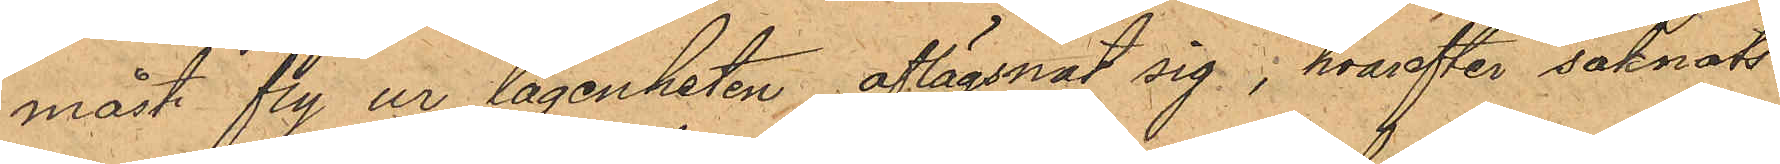måst fly ur lägenheten, aflägsnat sig; hvarefter saknats
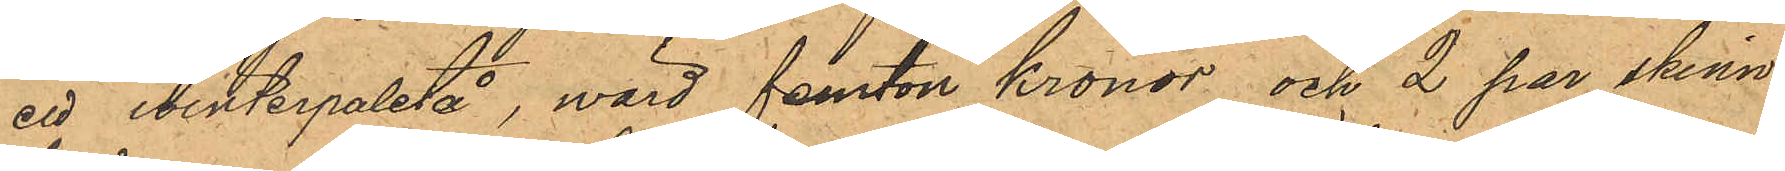ett winterpaletå, wärd femton kronor och 2 par skinn¬
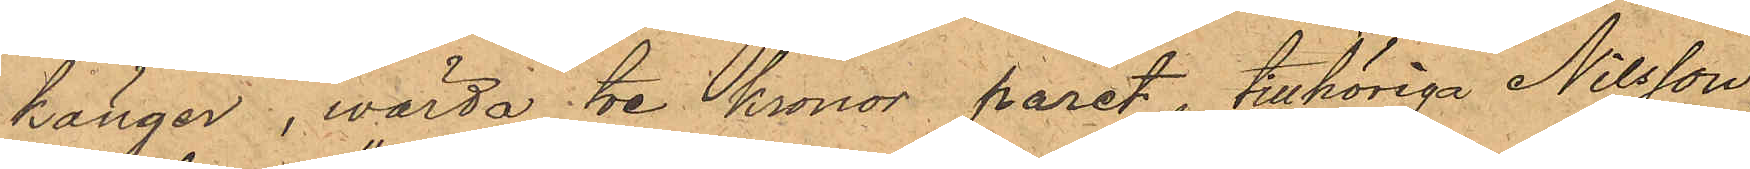kängor, wärda tre kronor paret, tillhöriga Nilsson
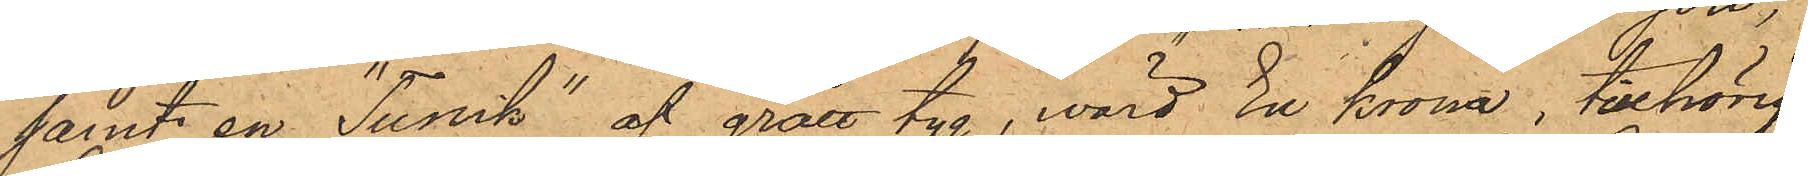samt en "Tunik" af grått tyg, wärd En krona, tillhörig
